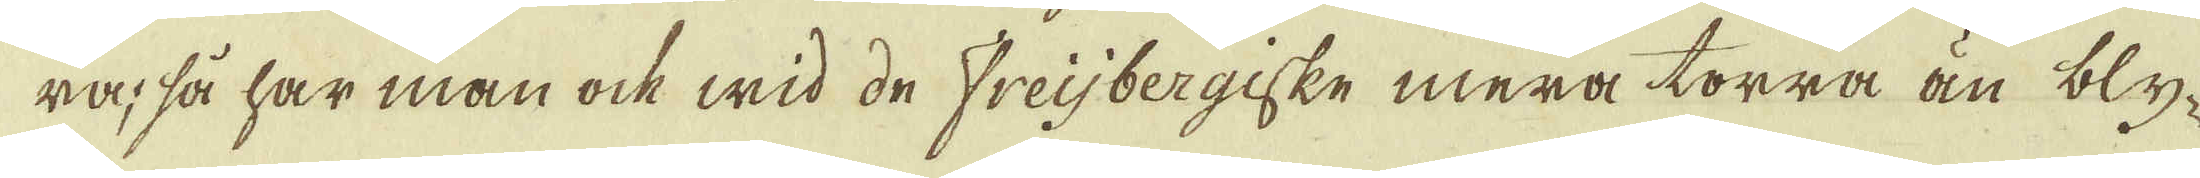ra, så har man ock wid de Freijbergiske mera torra än bly-
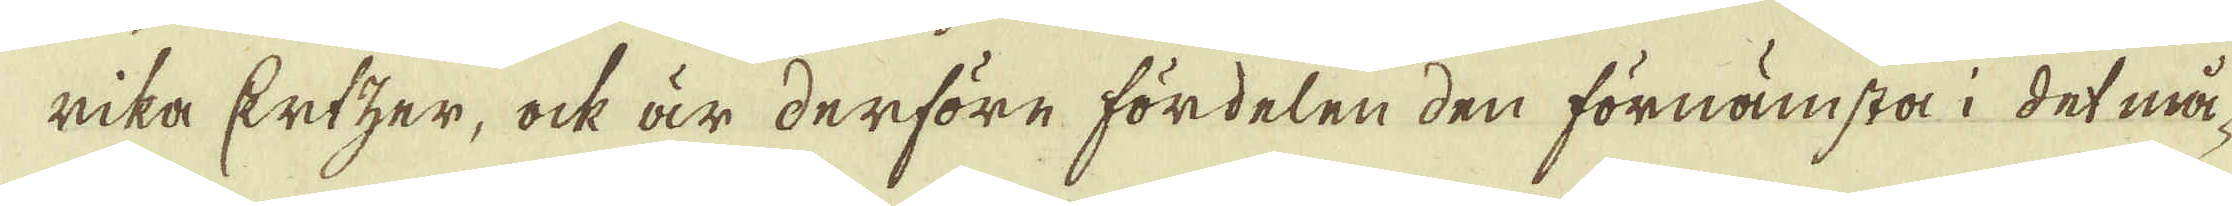rika Ertzer, ock är derföre fördelen den förnämsta i det må-
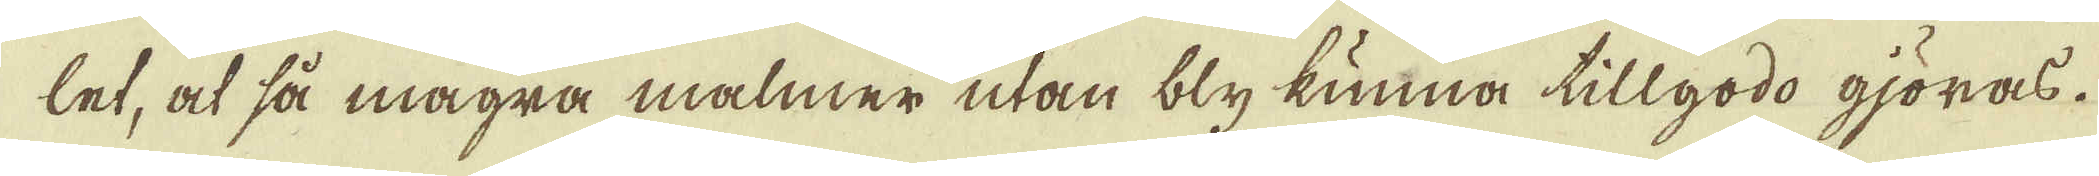let, at så magra malmer utan bly kunna tillgodo gjöras.
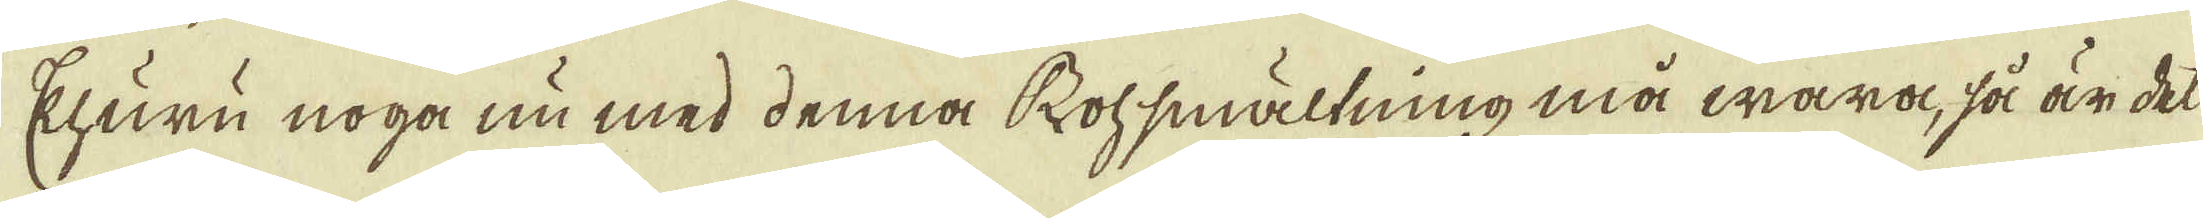Ehuru noga nu med denna Rohsmältning må wara, så är del
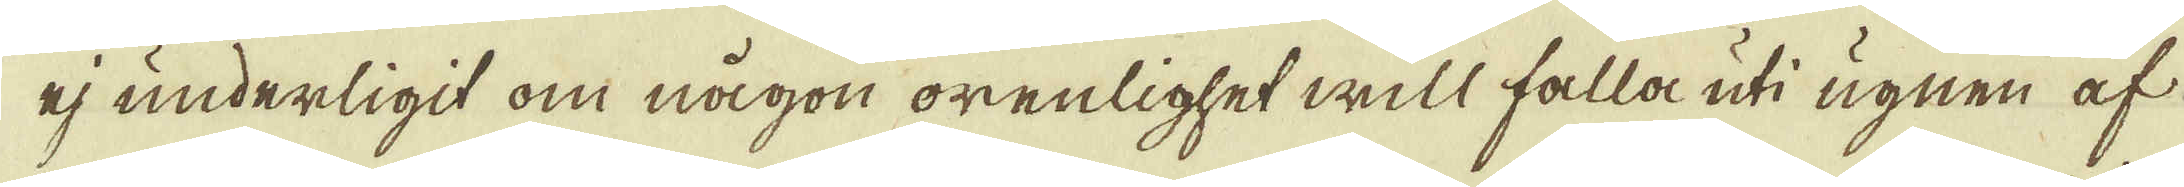ej underligit om någon orenlighet will falla uti ugnen af
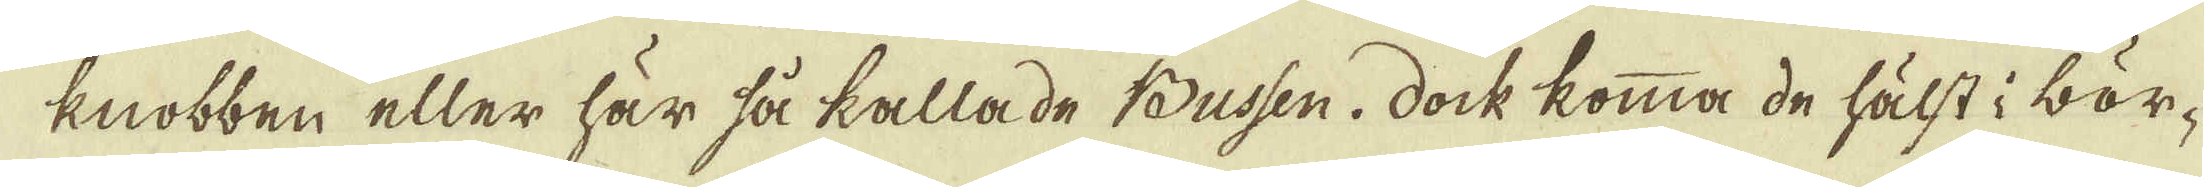knobben eller här så kallade Bussen. Dock komma de hälst i bör-
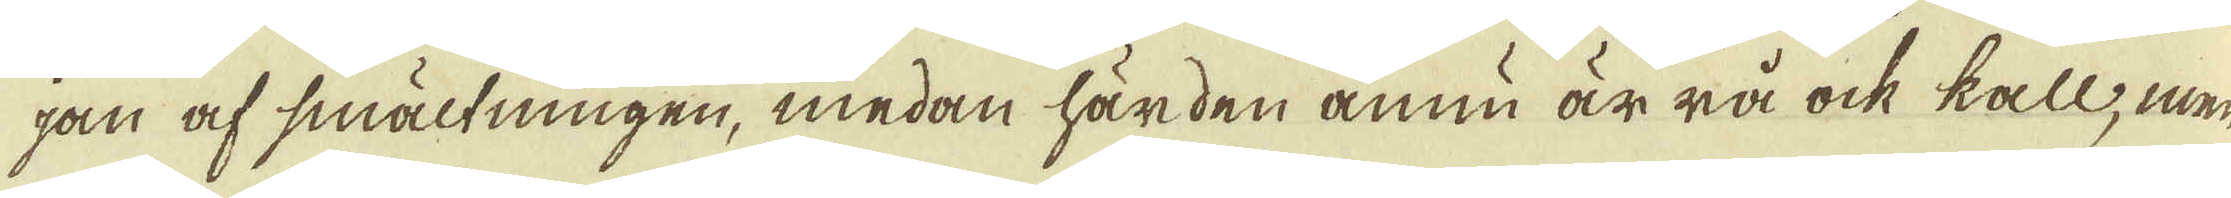jan af smältningen, medan härden ännu är rå ock kall, men-
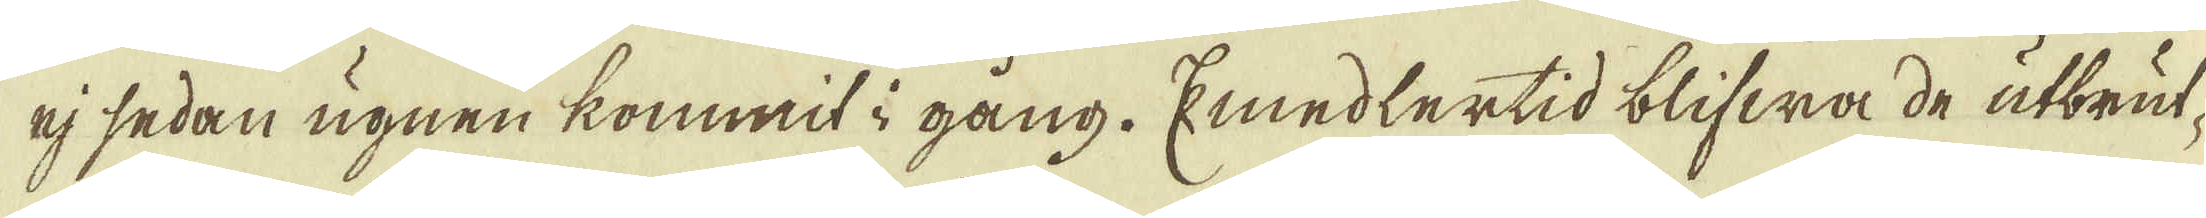ej sedan ugnen kommit i gång. Emedlertid blifwa de utbrut-
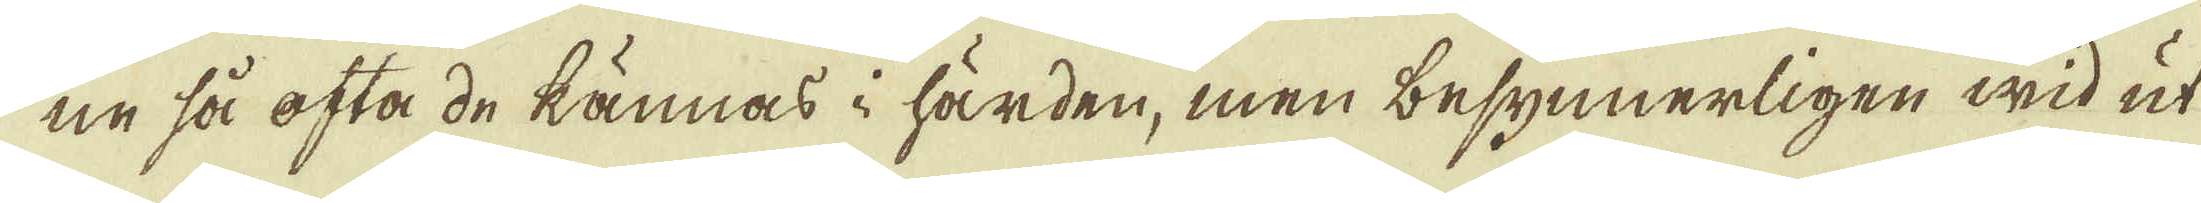ne så ofta de kännas i härden, men besynnerligen wid ut-
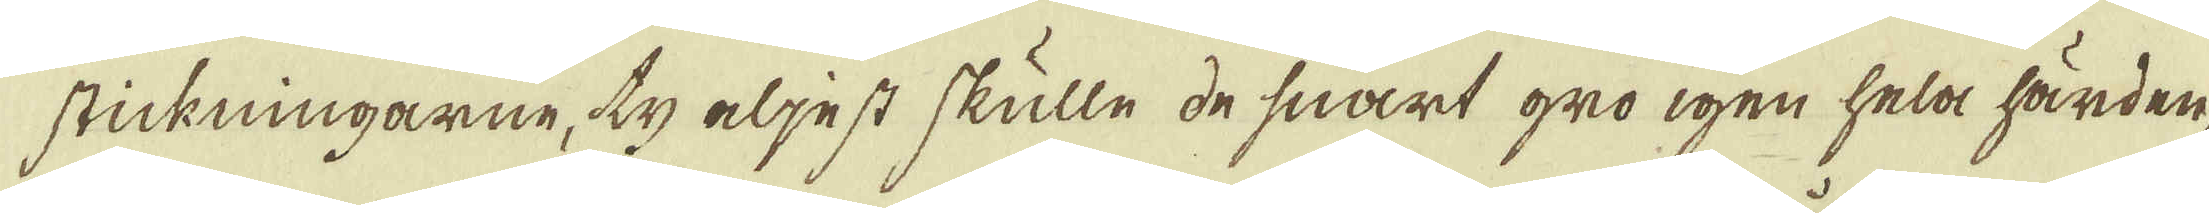stickningarne, ty eljest skulle de snart gro igen hela härden,
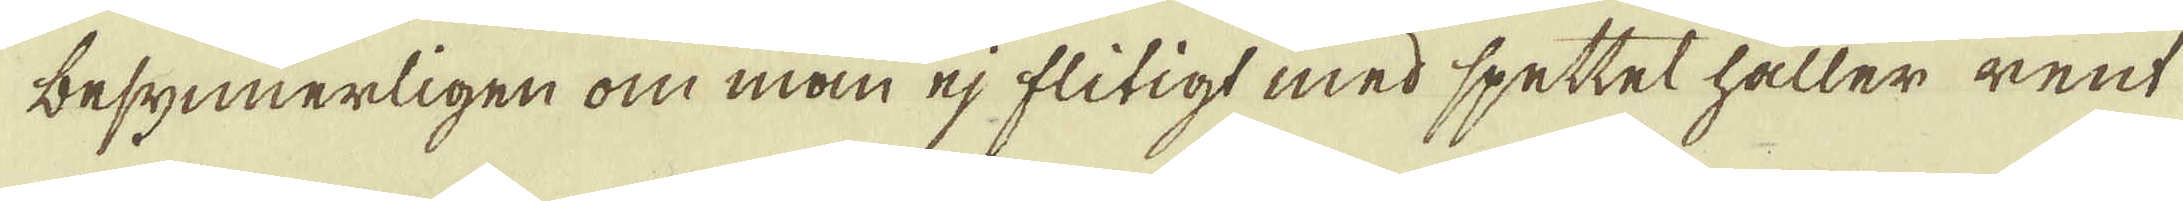besynnerligen om man ej flitigt med spettet håller rent
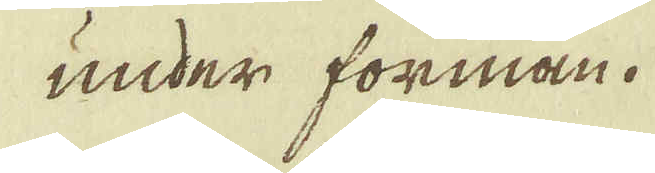under forman.
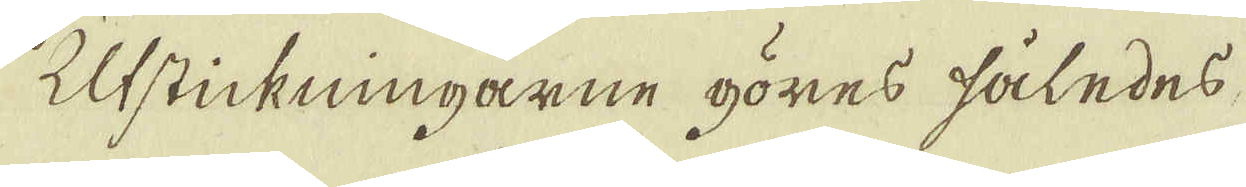Utstickningarne göres således,
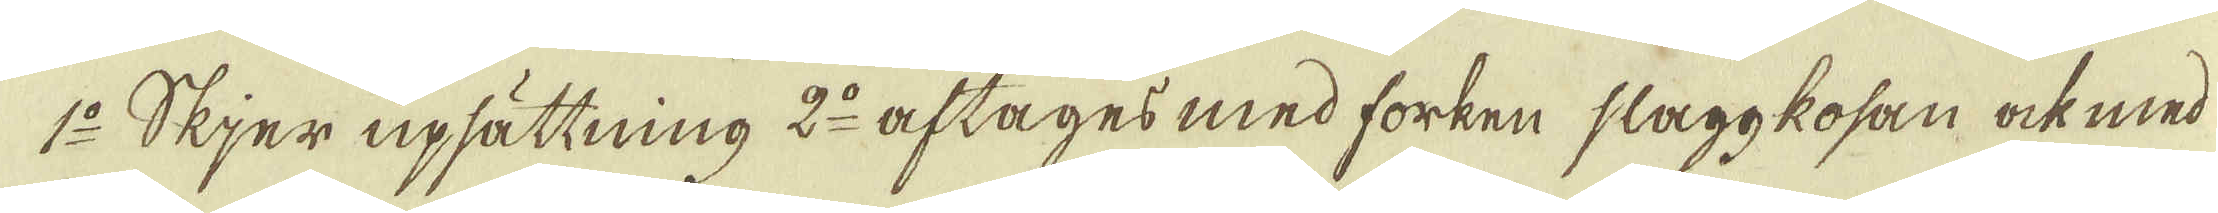1:o Skjer upsättning 2:o aftages med forken slaggkosan ock med
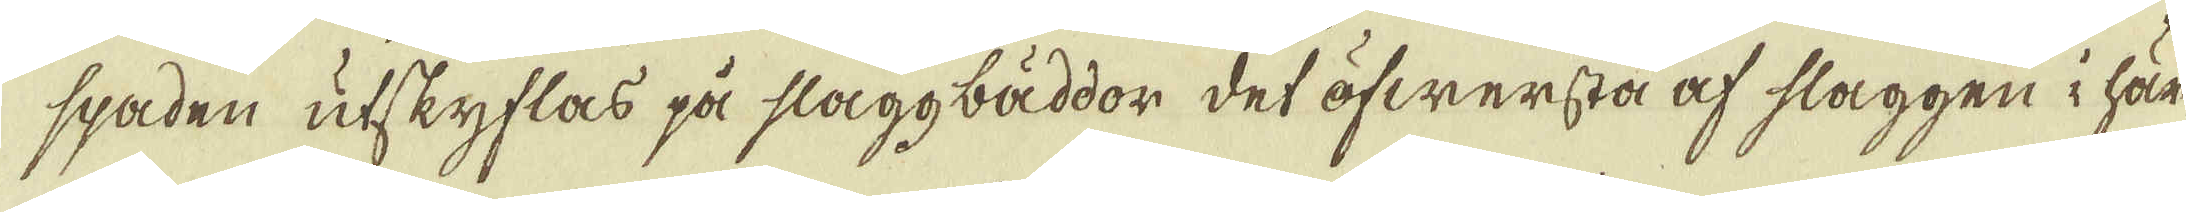spaden utskyflas på slaggbäddor det öfwersta af slaggen i här-
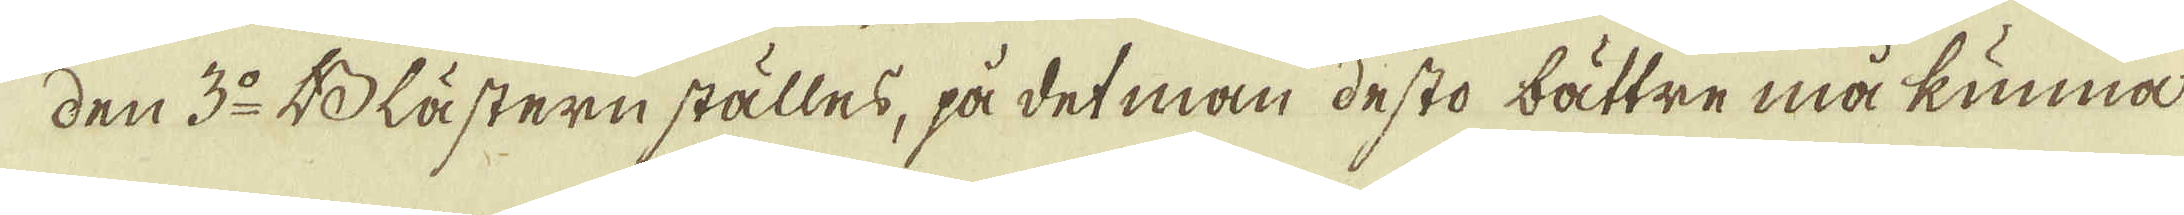den 3:o Blästern ställes, på det man desto bättre må kunna
